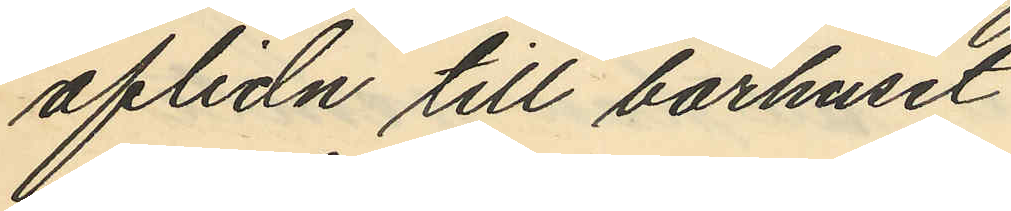aflidn till bårhuset
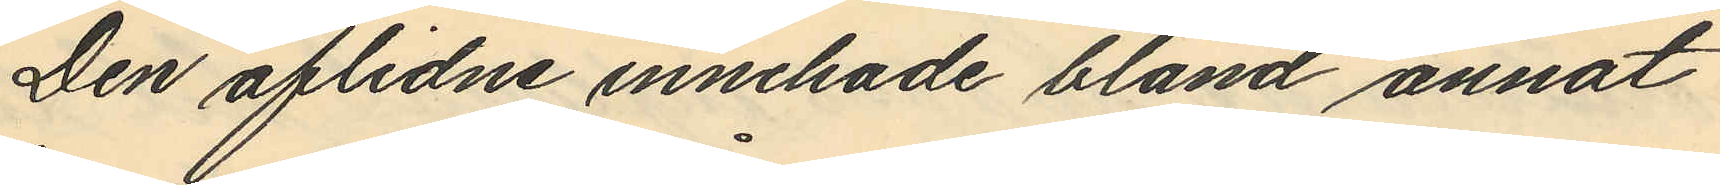Den aflidne innehade bland annat
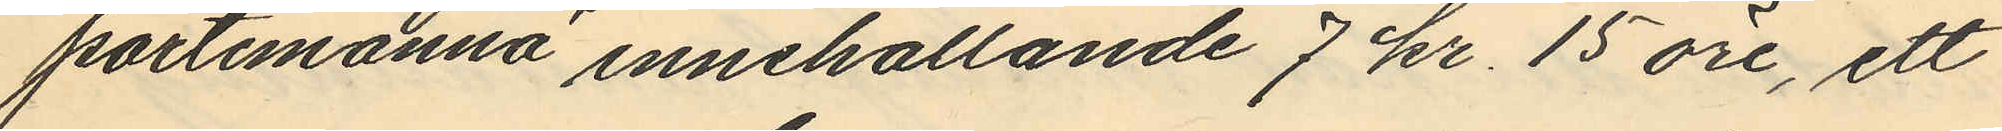portemonnä innehållande 7 kr. 15 öre, ett
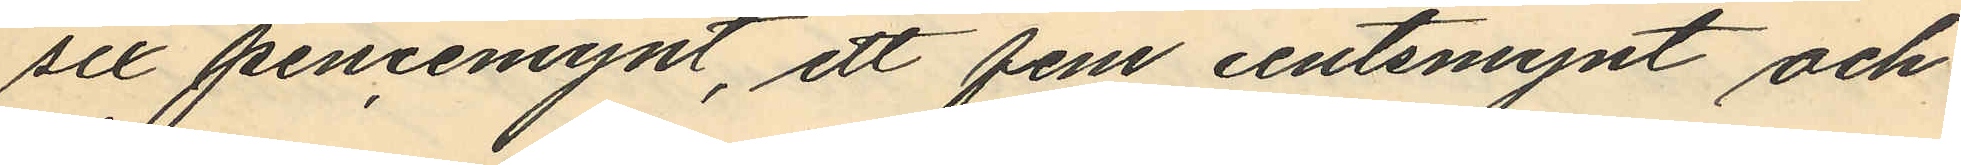sex pencemynt, ett fem centsmynt och
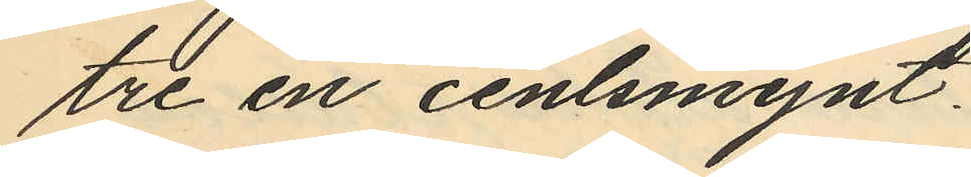tre en centsmynt.
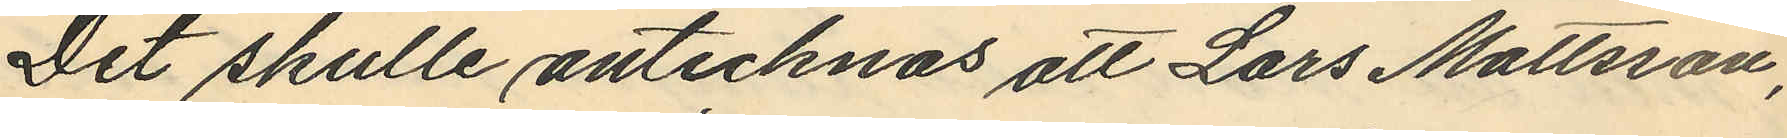Det skulle antecknas att Lars Mattsson,
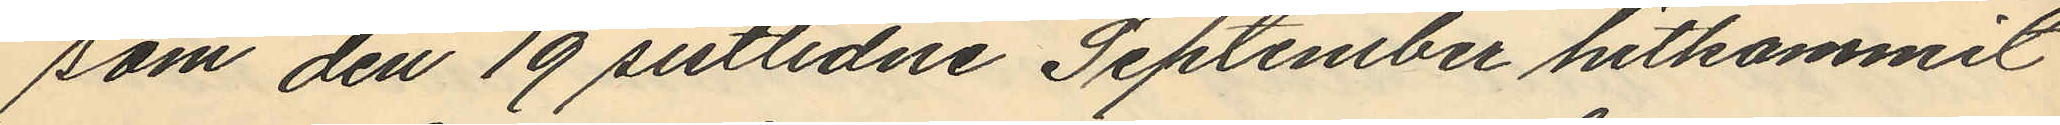som den 19 sistlidne September hitkommit
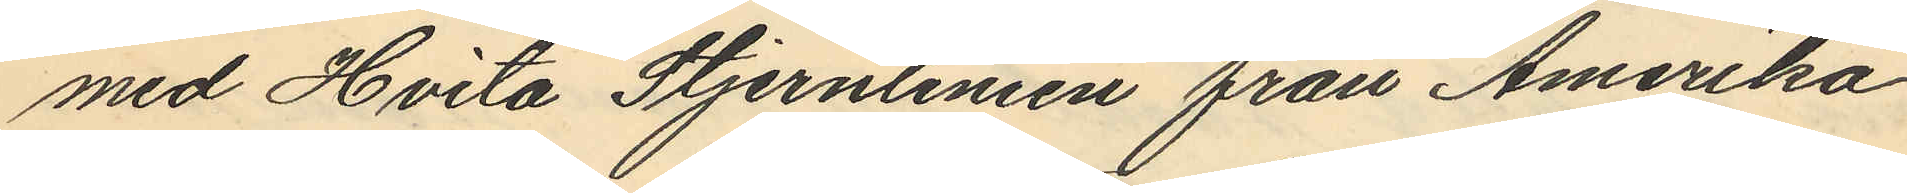med Hvita Stjernlingen från Amerika
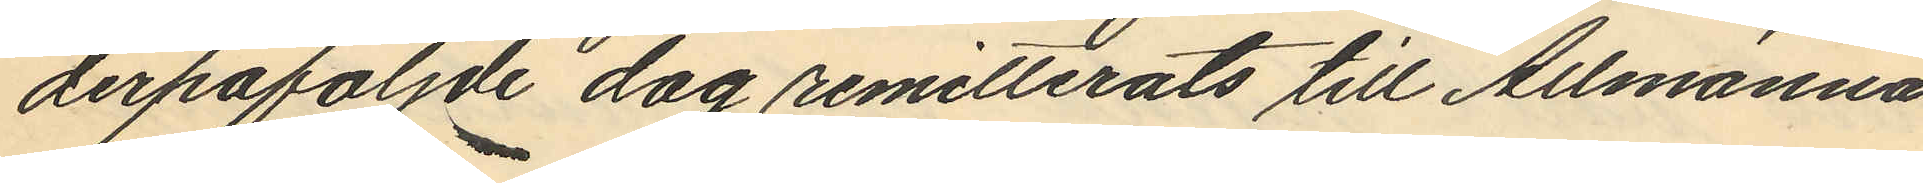derpåföljde dag remitterats till Allmänna
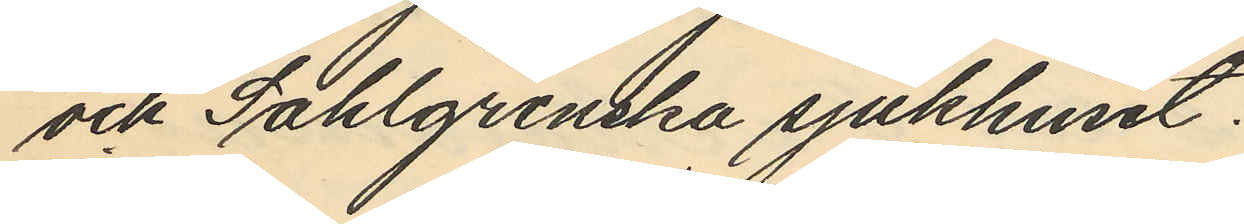och Sahlgrenska sjukhuset.
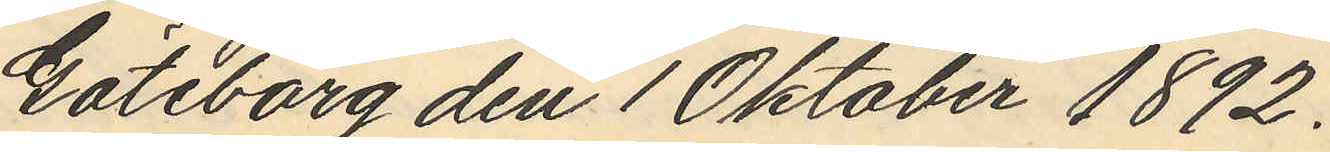Göteborg den 1 Oktober 1892.
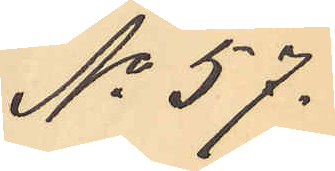No 57.
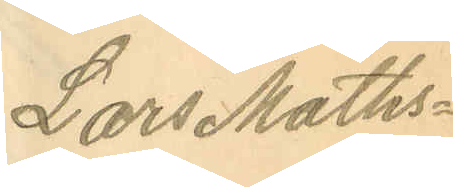Lars Maths¬
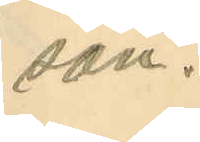son.
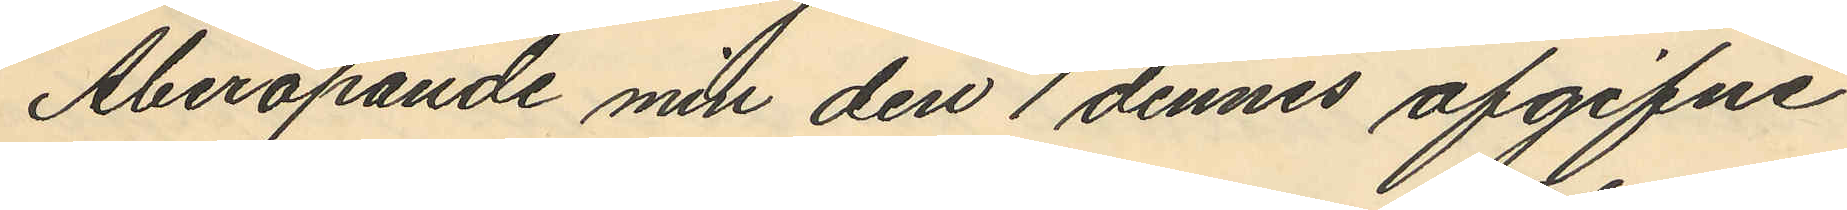Åberopande min den 1 dennes afgifne
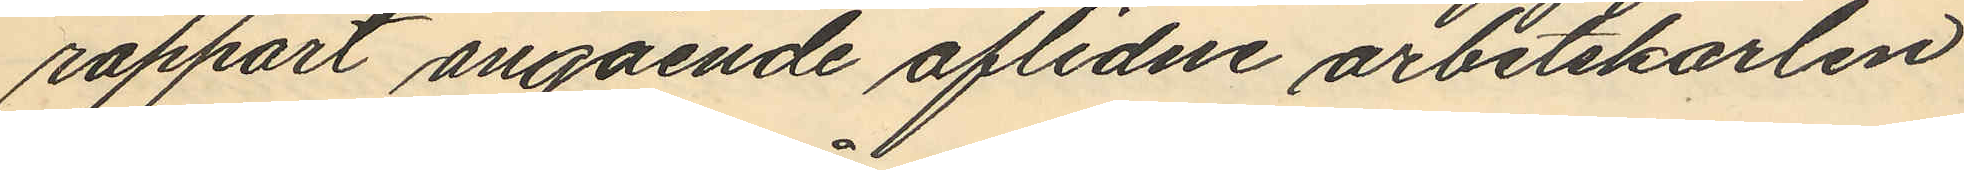rapport angående aflidne arbetskarlen
